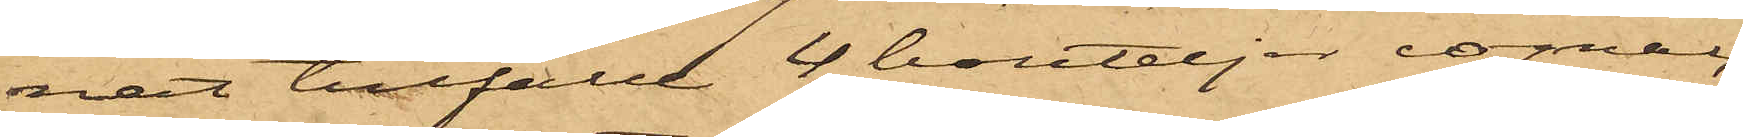nat tillfälle 4 bouteljer cognac
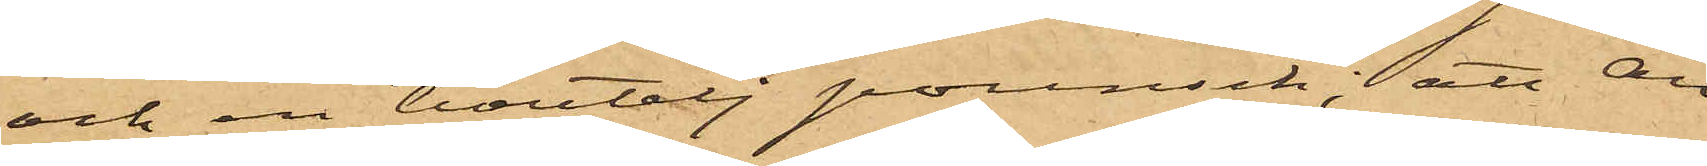och en boutelj punsch; att An¬
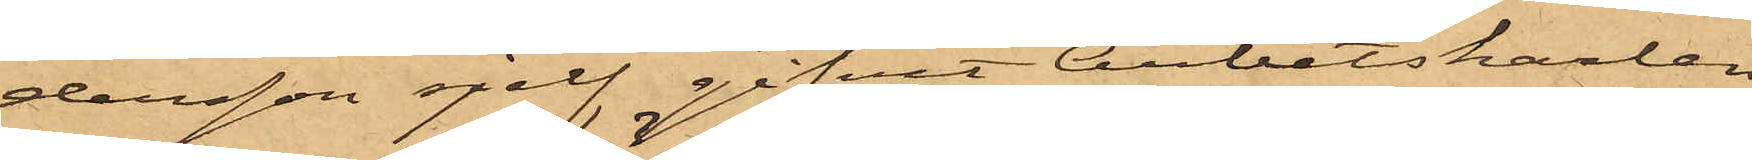dersson sjelf gifvit Arbetskarlen
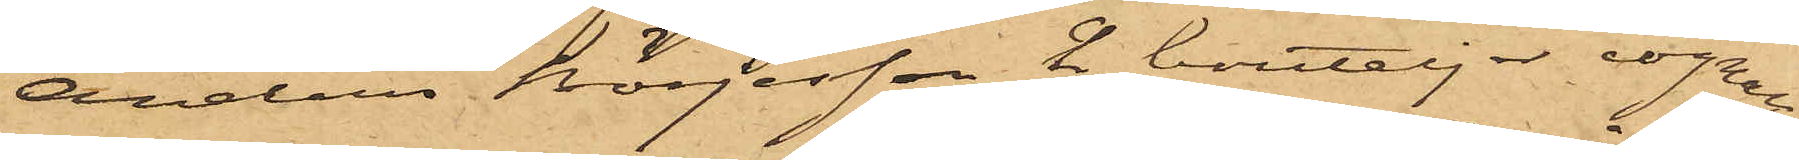Anders Börjesson 2 bouteljer cognac
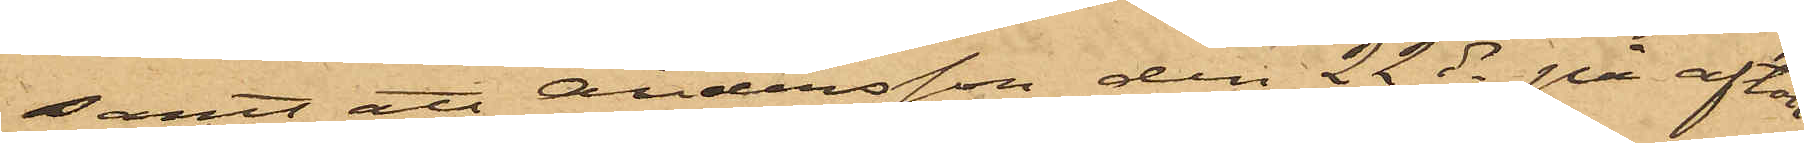samt att Andersson den 22 ds på afton
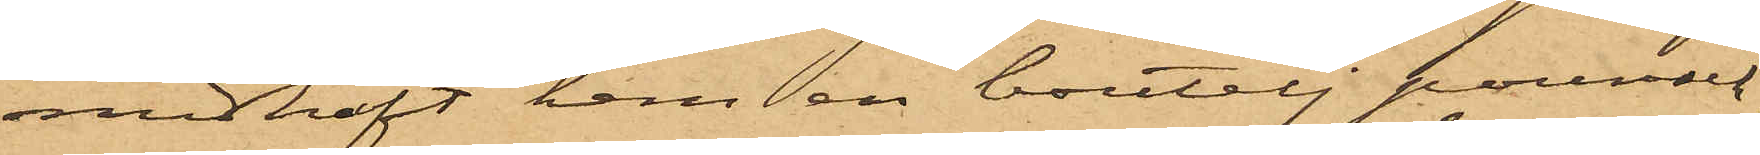medhaft hem en boutelj punsch.
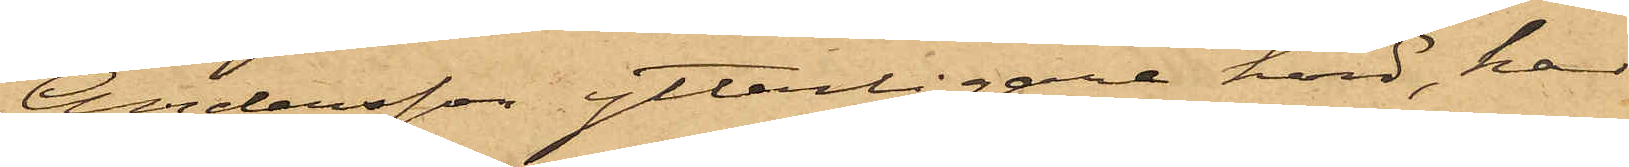Andersson ytterligare hörd, har
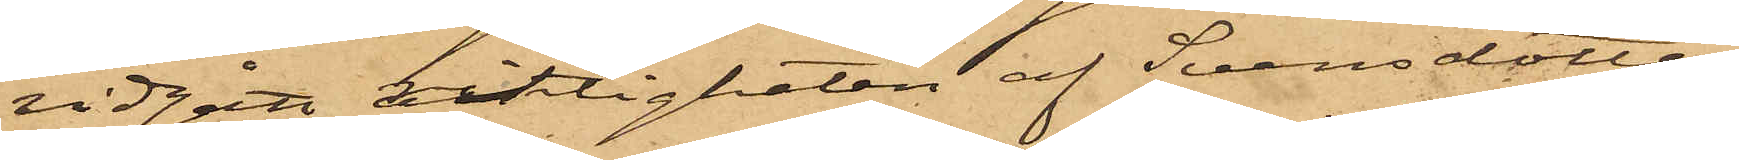vidgått riktigheten af Svensdotters
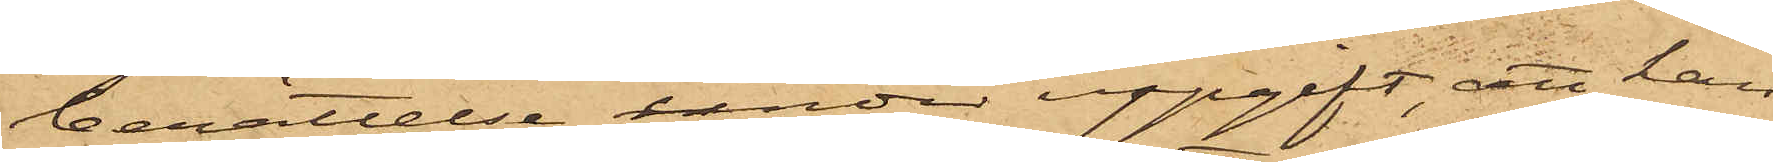berättelse under uppgift, att han
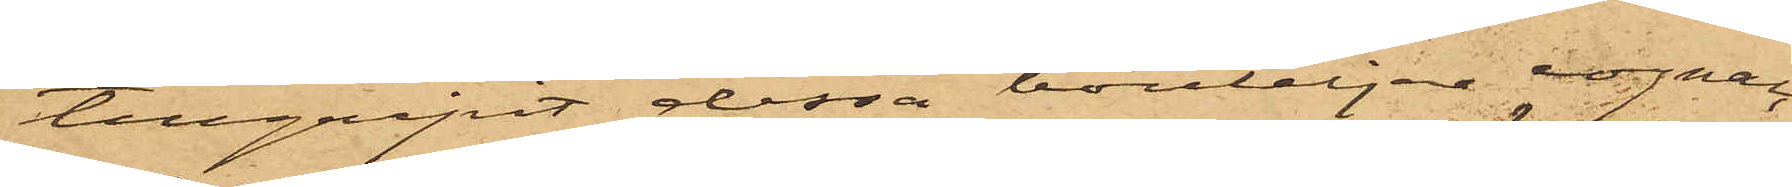tillgripit dessa bouteljer cognac
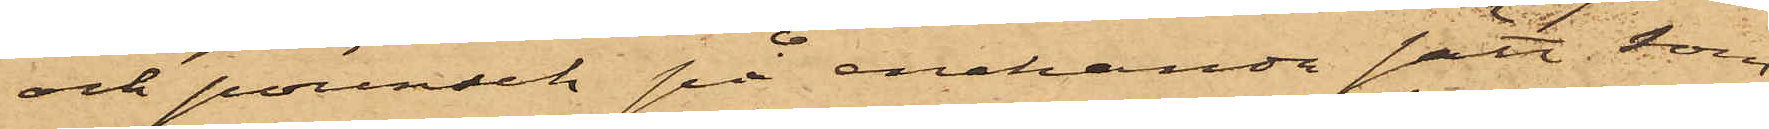och punsch på enahanda sätt som
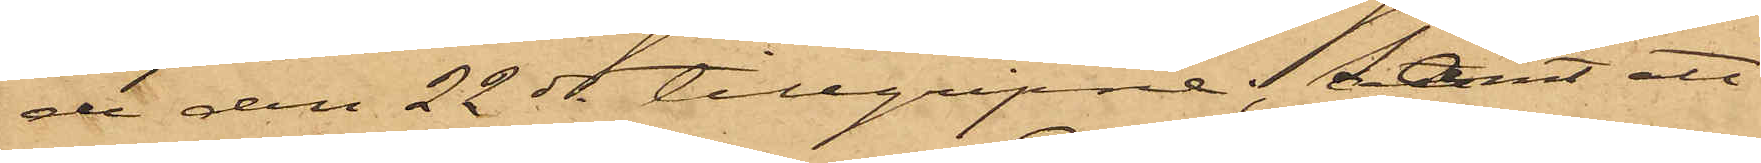de den 22 ds tillgripne; samt att
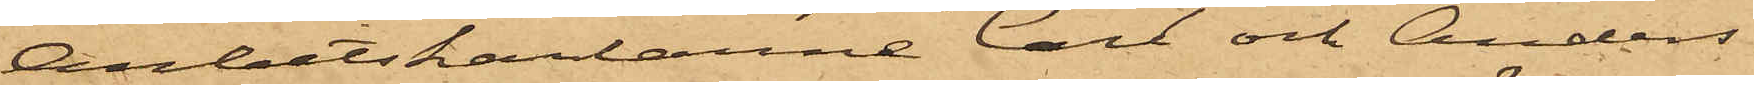Arbetskarlarne Carl och Anders
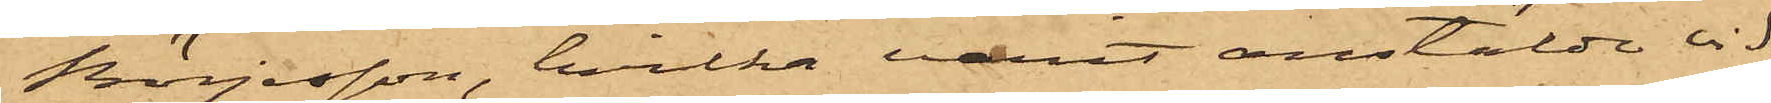Börjesson, hvilka varit anstälde vid
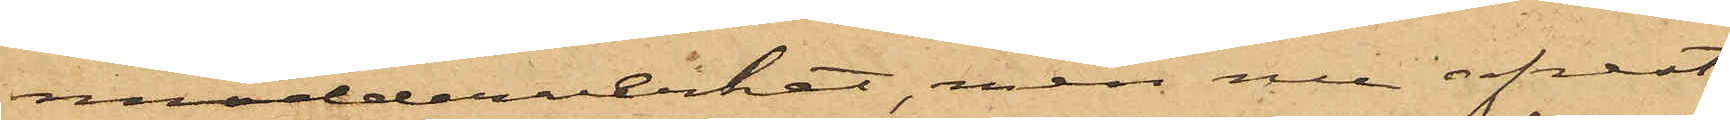mudderverket, men nu afrest
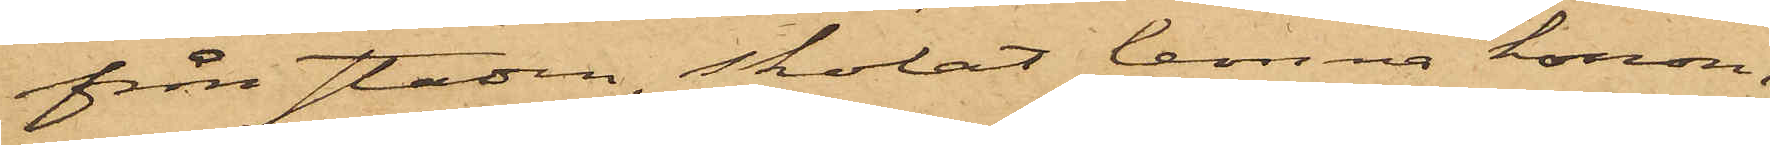från staden, skolat lemna honom,
